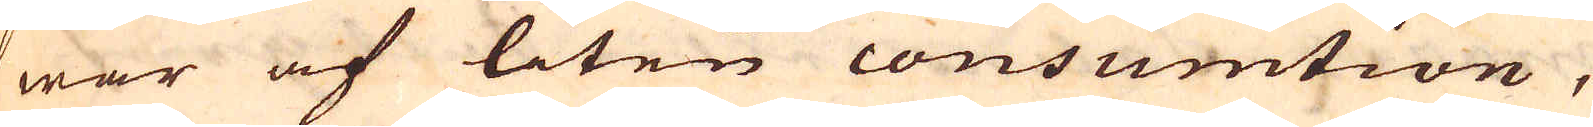war af liten cousumtion,
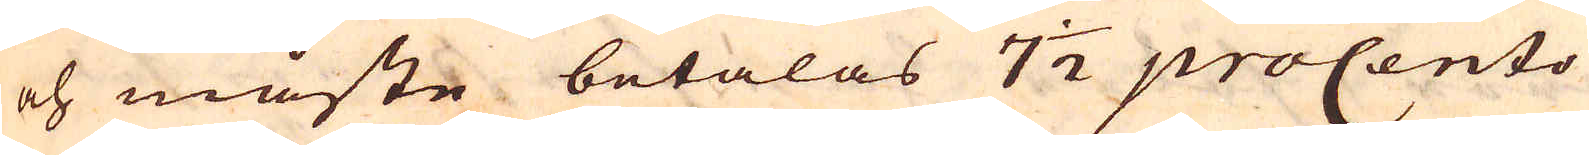och måste betalas 7 1/2 proCento
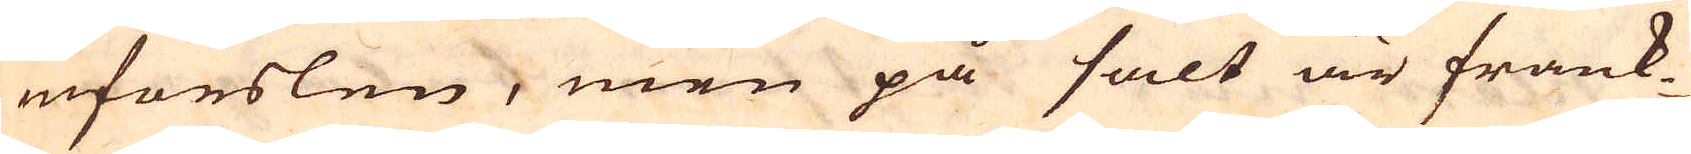införslen, men på salt är frank-
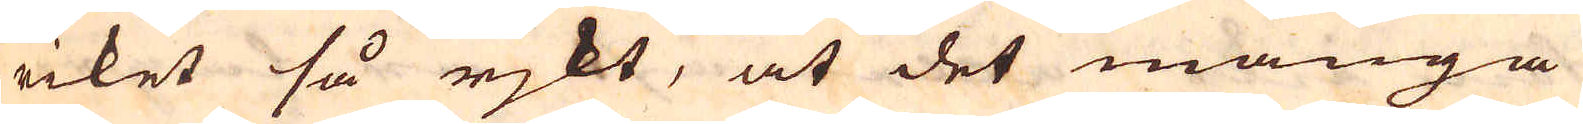riket så rjkt, at det många
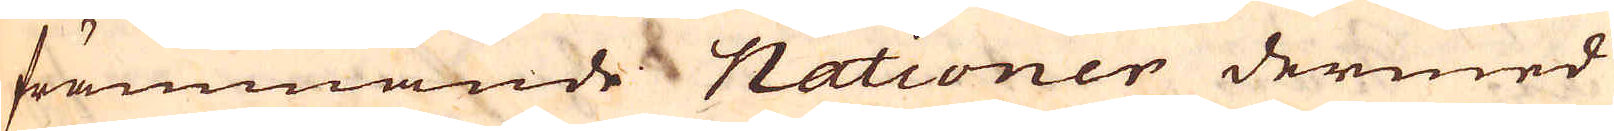främmande Nationer dermed
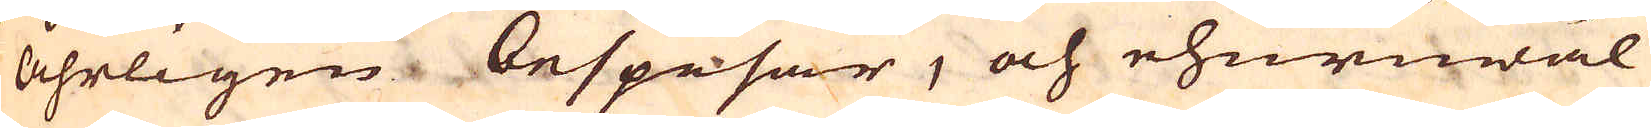åhrligen bespisar, och ehuruwäl
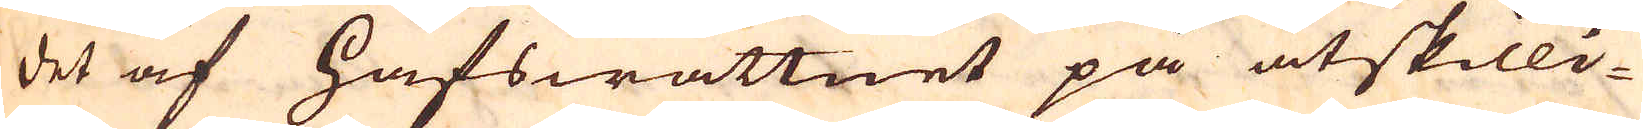det af hafswattnet på åtskilli-
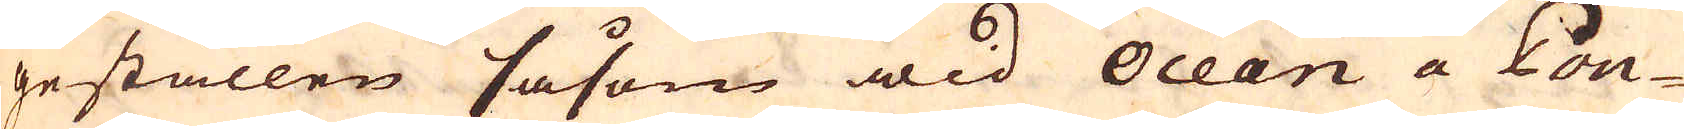geställen såsom wid Ocean a Pon-
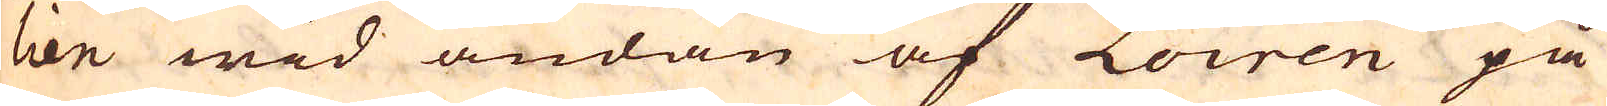lien wid ändan af Loiren på
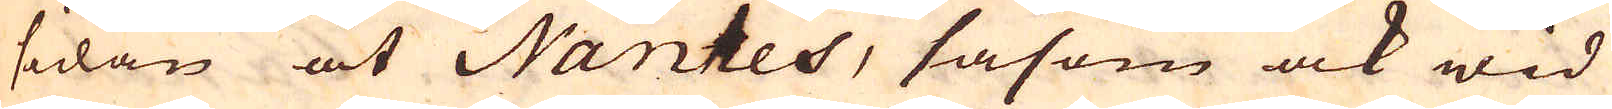sidan at Nantes, såsom ock wid
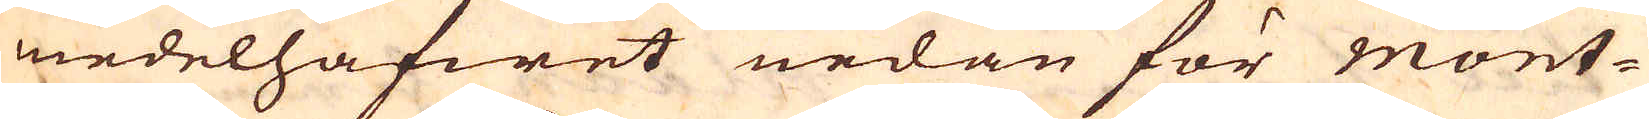medelhafwet nedan för Mont-
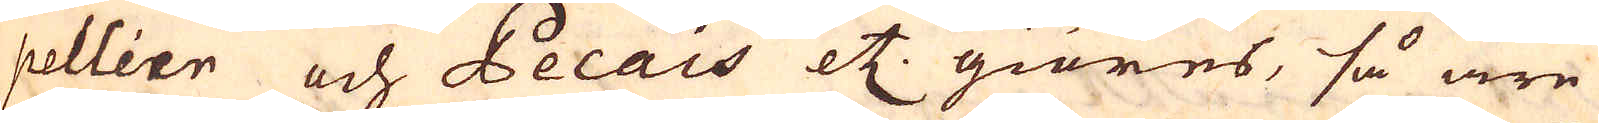pellier och Pecais etc. giöres, så äre
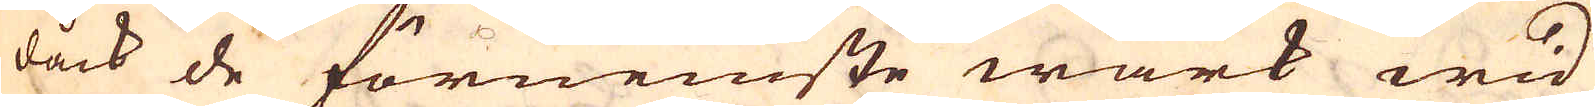dåck de förnemste wärk wid
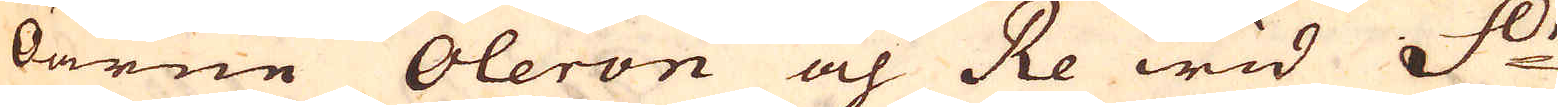öarne Oleron och Re wid S:t
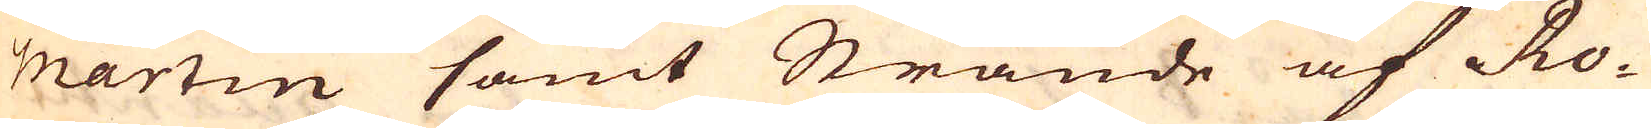martin samt Strande af Ro-
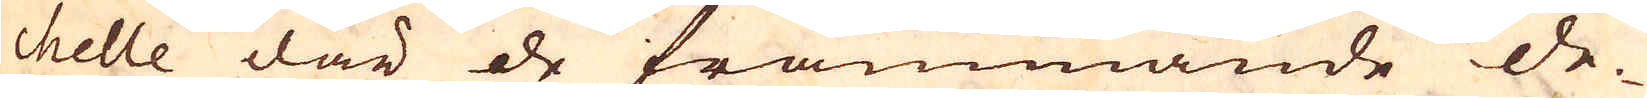chelle där de främmande de-
